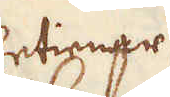betingar sig
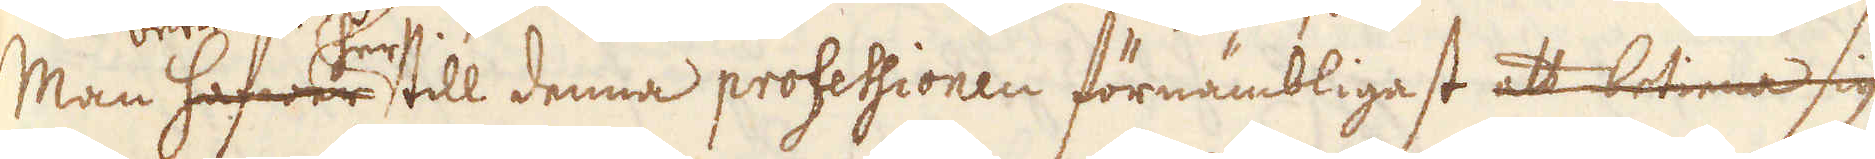Man hafwer her till denna professionen förnämbligast att betiena sig
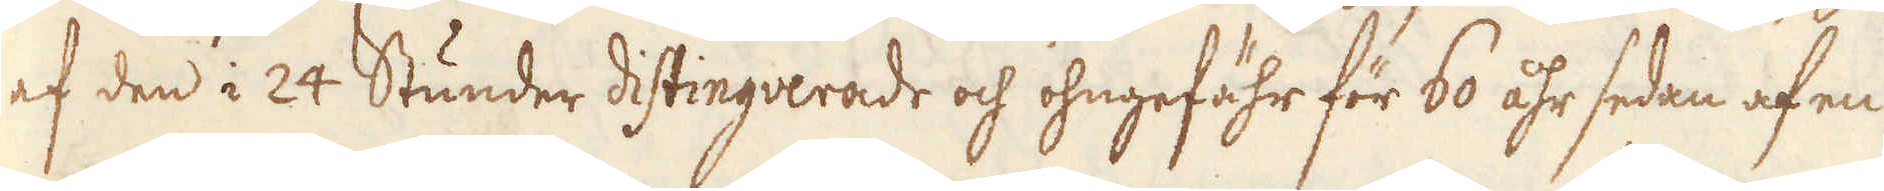af den i 24 Stunder distingverade och ohngefähr för 60 åhr sedan af en
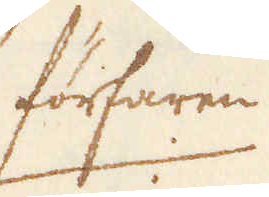förfaren
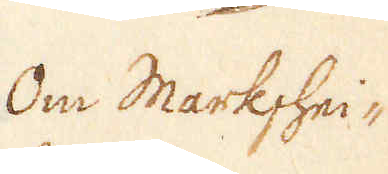Om Markshei-
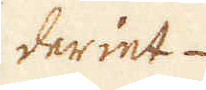deriet
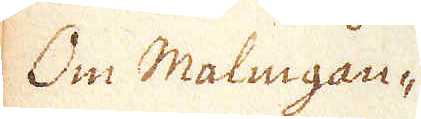Om Malmgån-
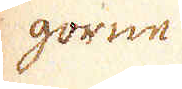gorne
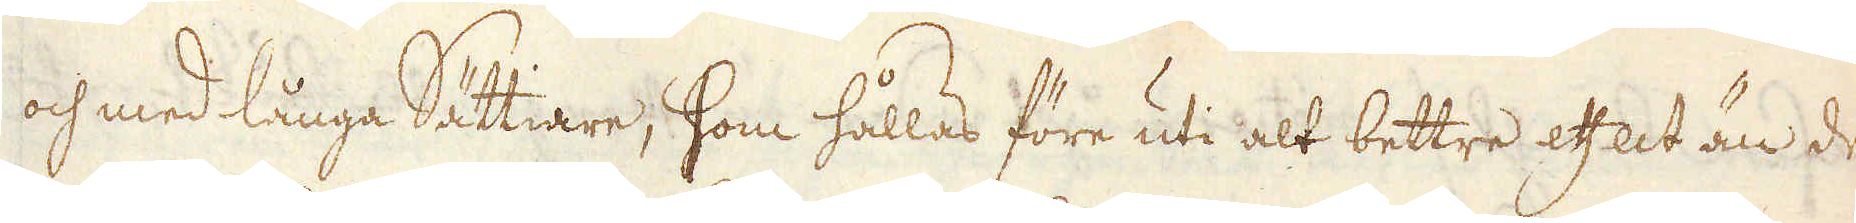och med långa Sättiare, som hållas före uti alt bettre effect än de
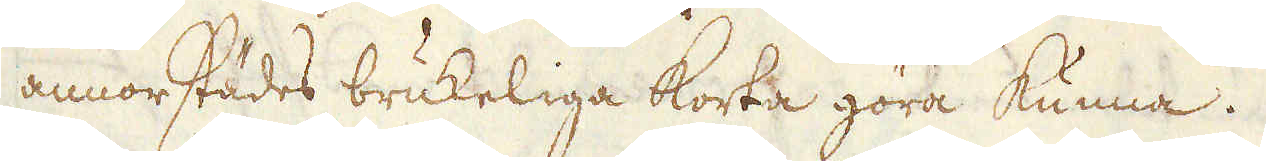annorstädes brukeliga korta göra kunna.
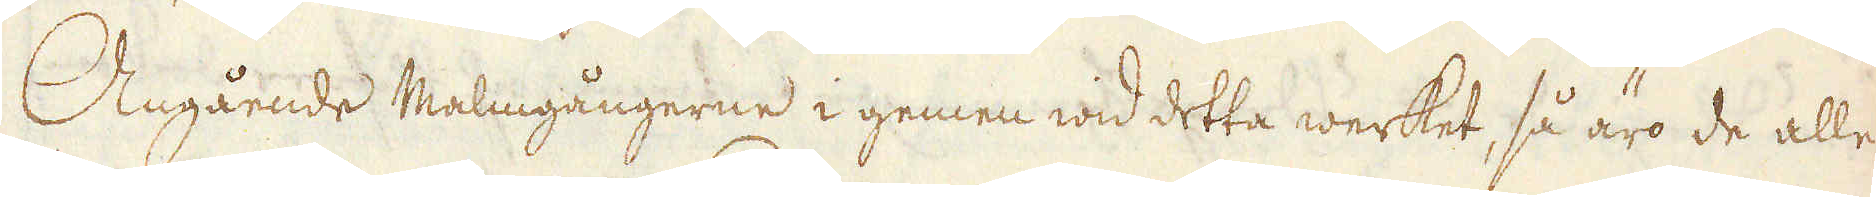Angående Malmgångerne i gemen wid detta werket, så äro de alle
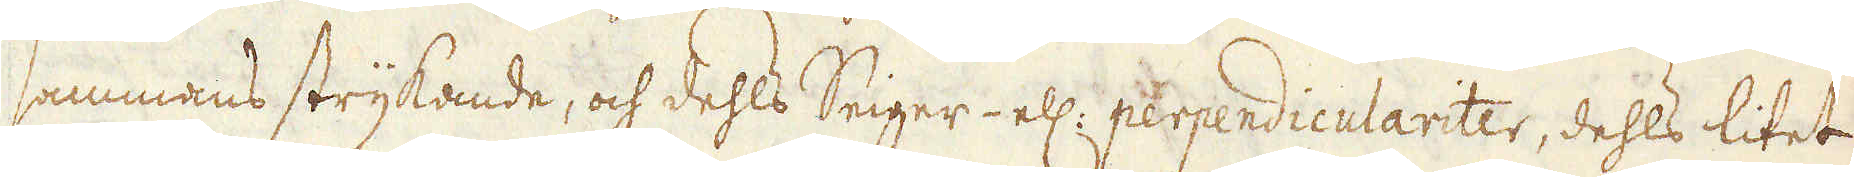sammans strykande, och dehls Seiger- ell: perpendiculariter, dehls litet
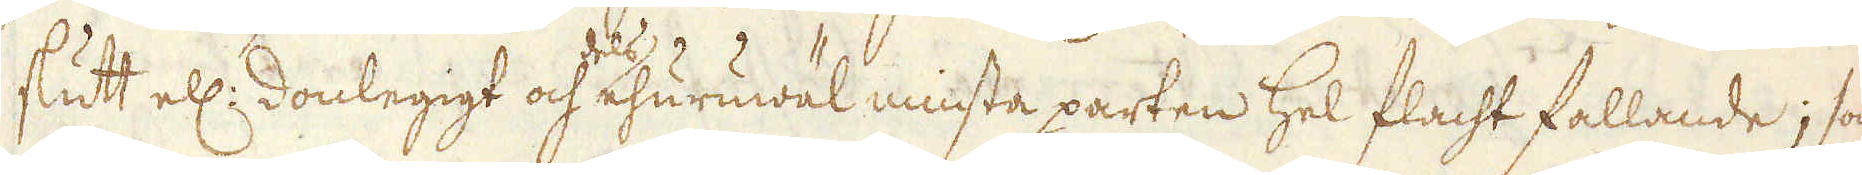slutt ell: donlegigt och dels ehuruwäl minsta parten hel flacht fallande; som-
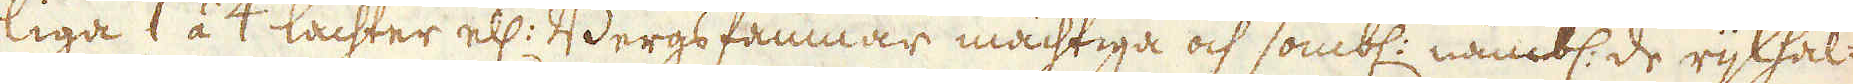liga 1 á 4 lachter ell: Bergsfamnar mächtiga och sombl: nämbl: de rijkhal-
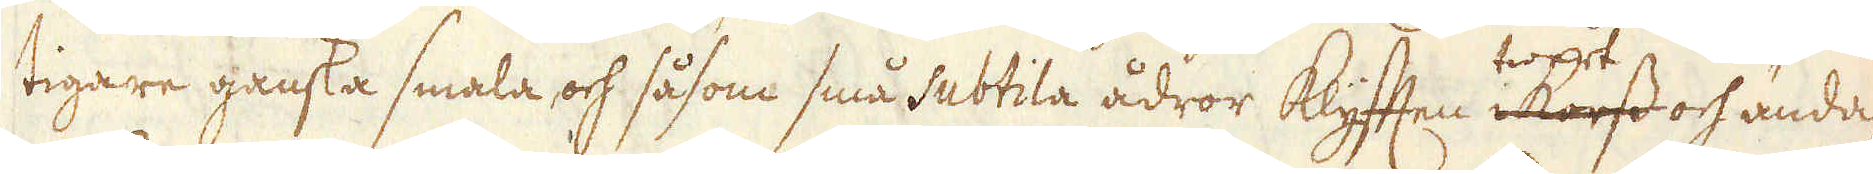tigare ganska smala och såsom små subtila ådror Klyfften i korss twert och ända-
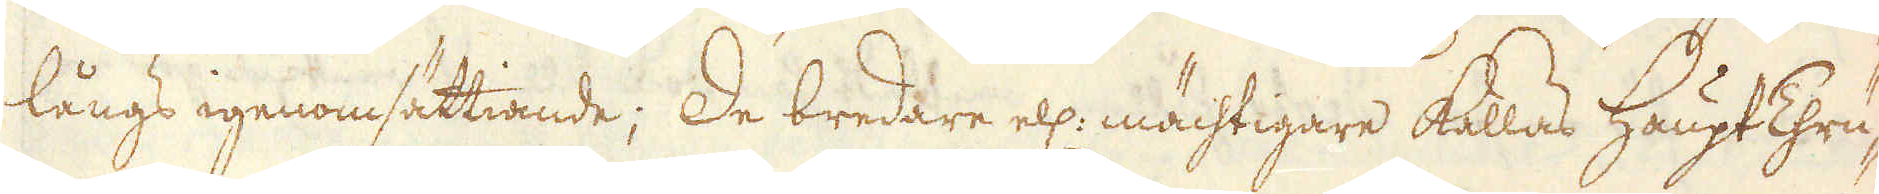långs igenomsättiande; De bredare ell: mächtigare kallas Haupt Thru-
